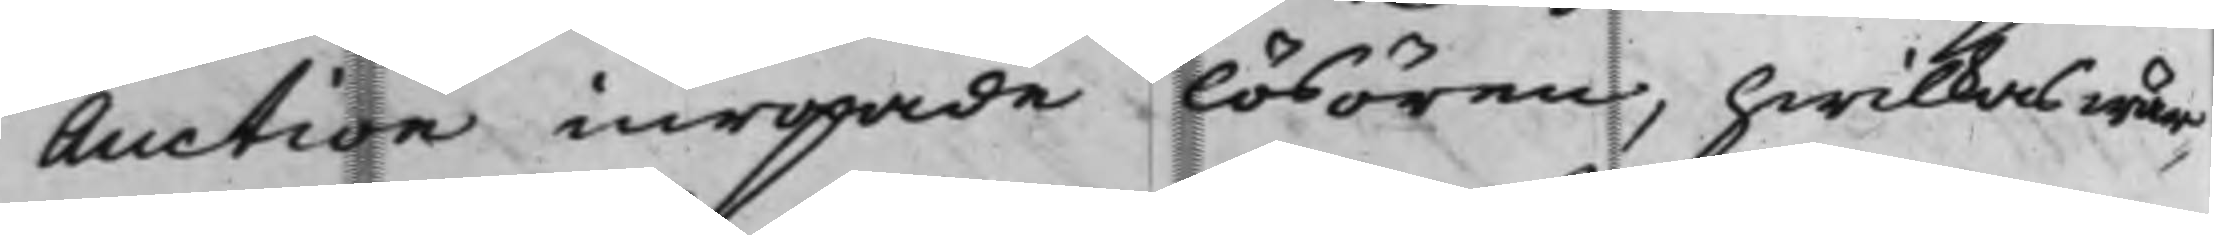Auction inropade lösören, hwilkas wär¬
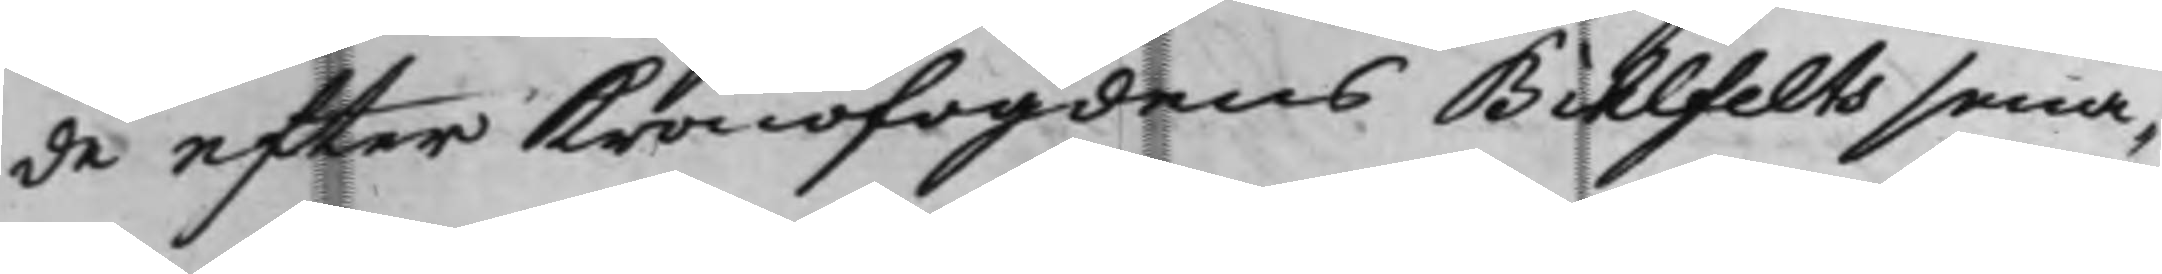de efter Kronofogdens Bihlfelts sena¬
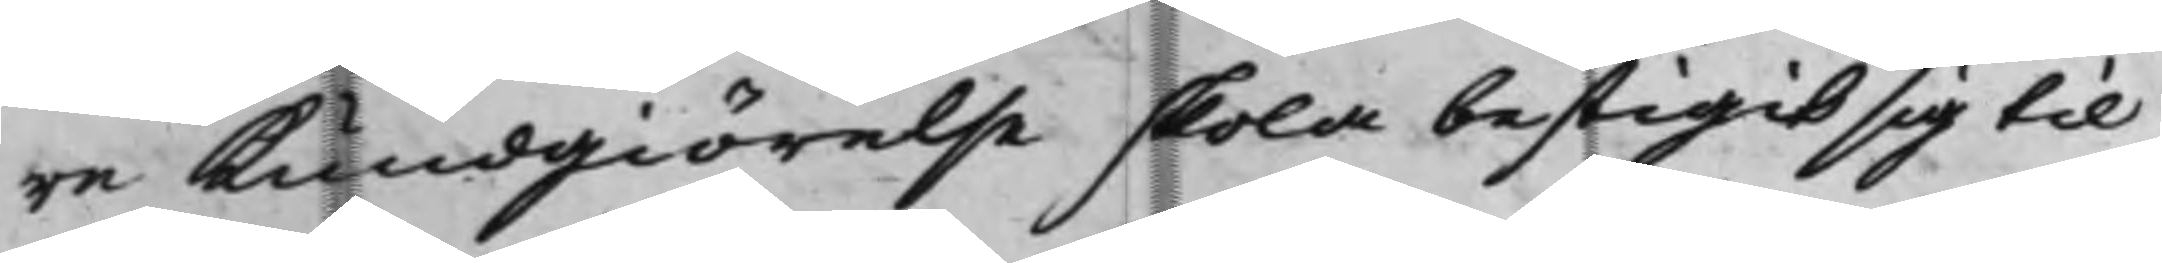re kundgiörelse skola bestigit sig til
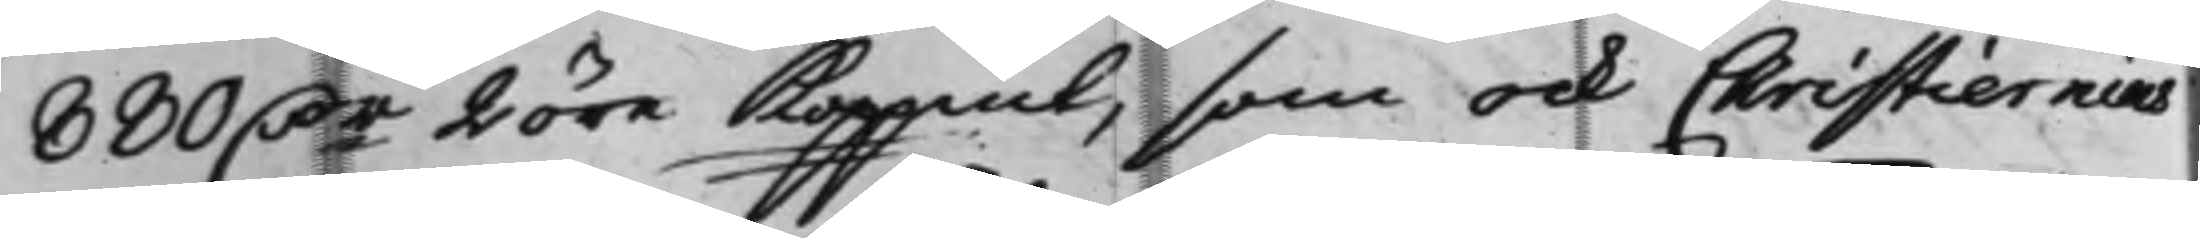880 D.r 2 öre Koppmt, som ock Christiernins
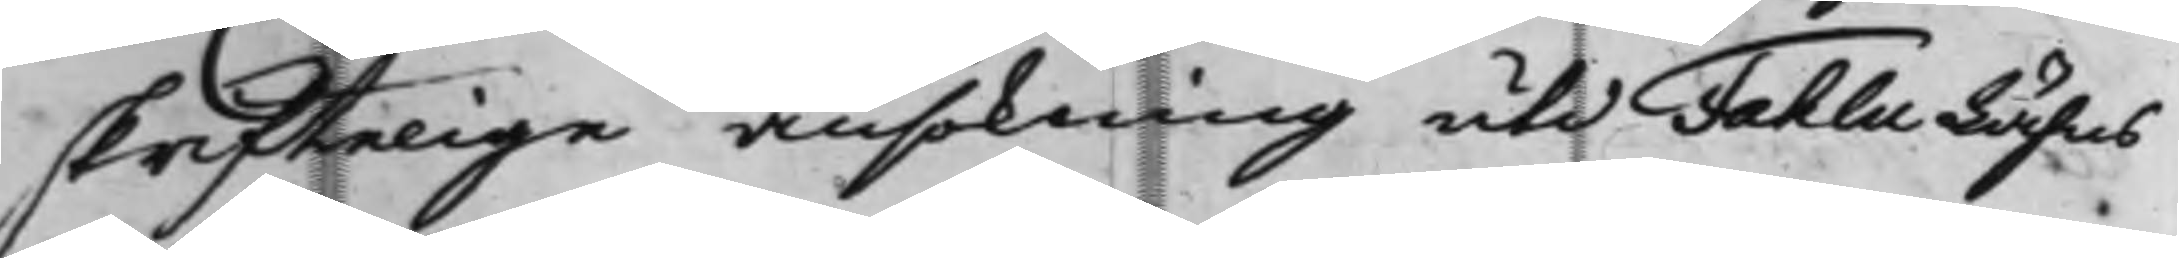skriftelige ansökning uti Fahlu Lähns
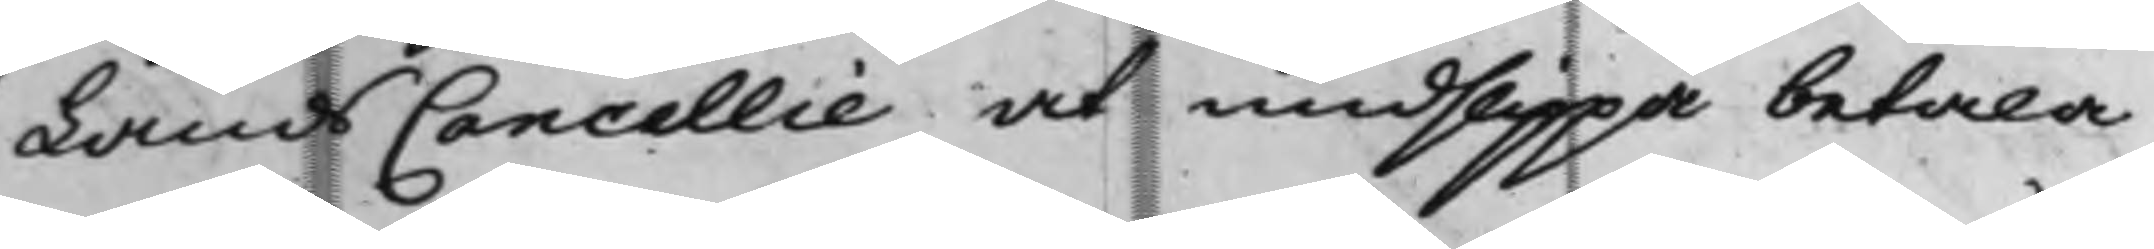LandsCancellie at undslippa betala
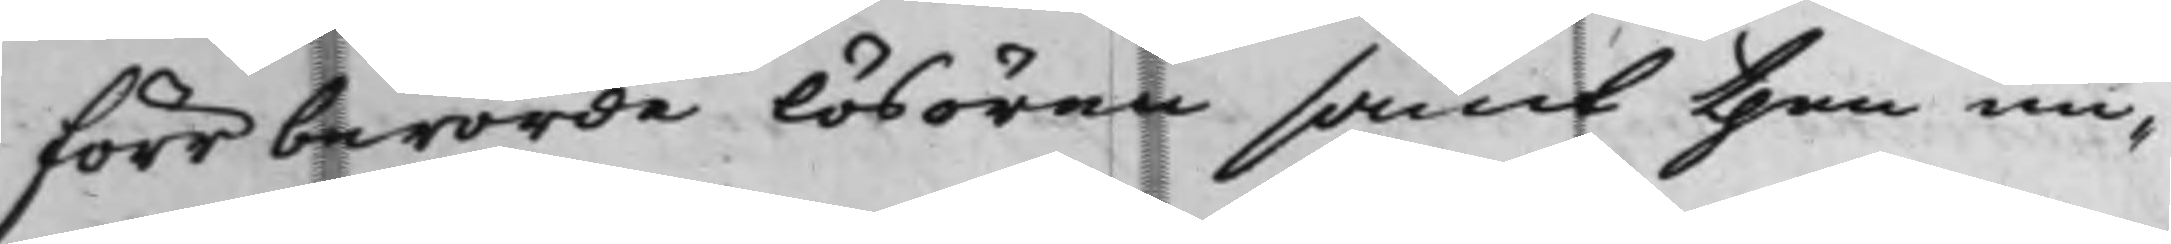förr berörde lösören samt then un¬
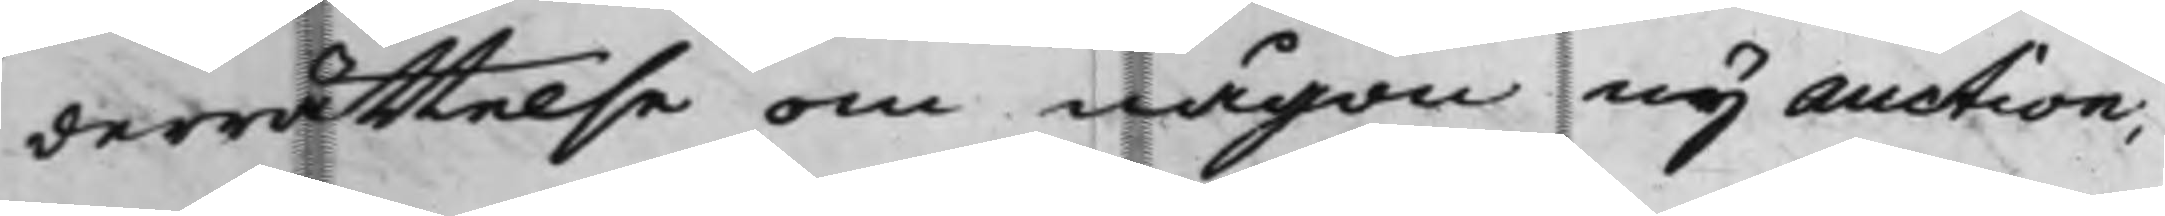derrättelse om någon ny auction;
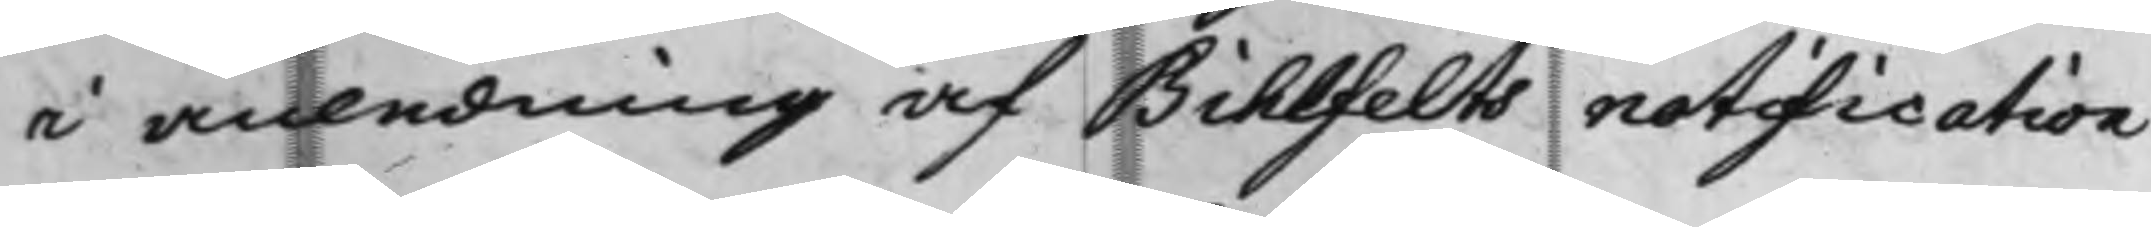i anledning af Bihlfelts notification
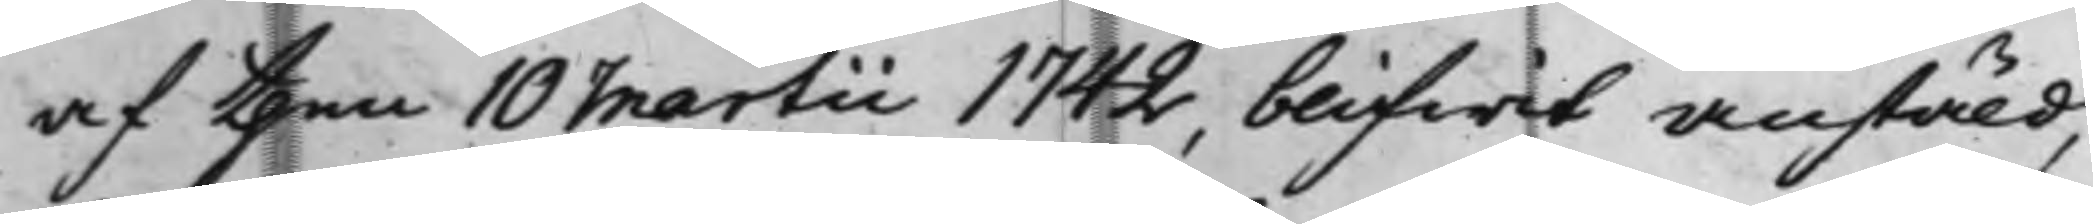af then 10 Martii 1742, blifwit anstäld,
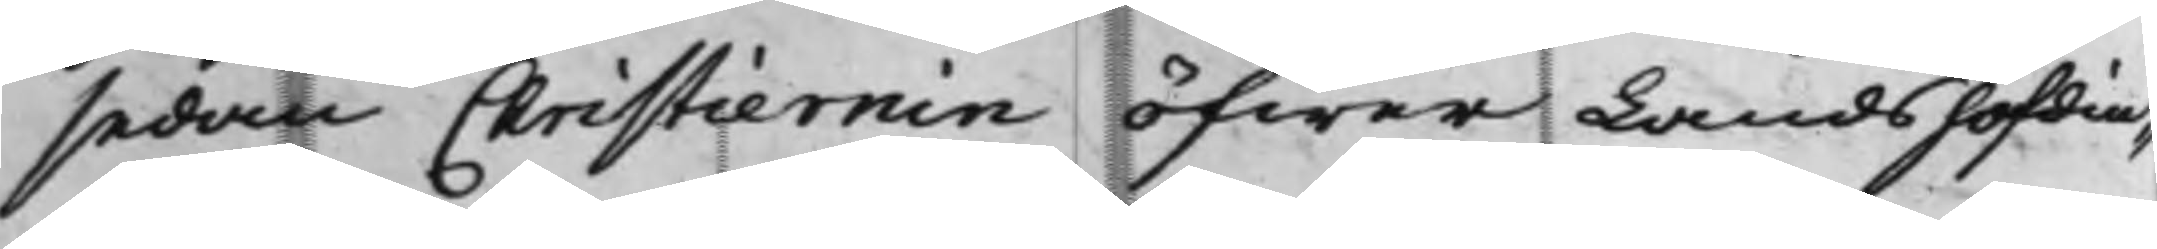sedan Christiernin öfwer Landshöfdin¬
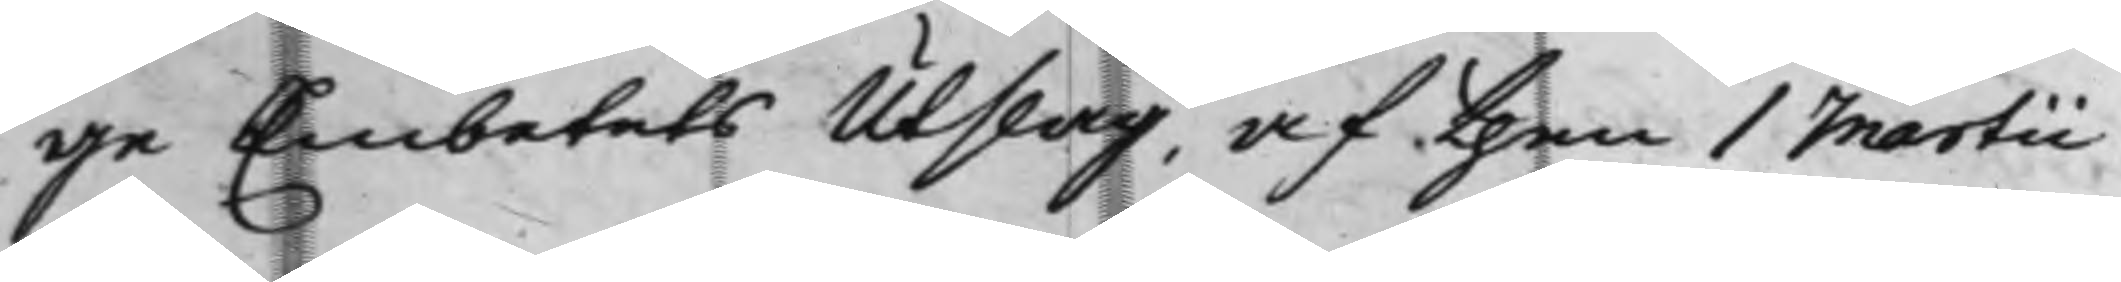ge Embetets Utslag, af then 1 Martii
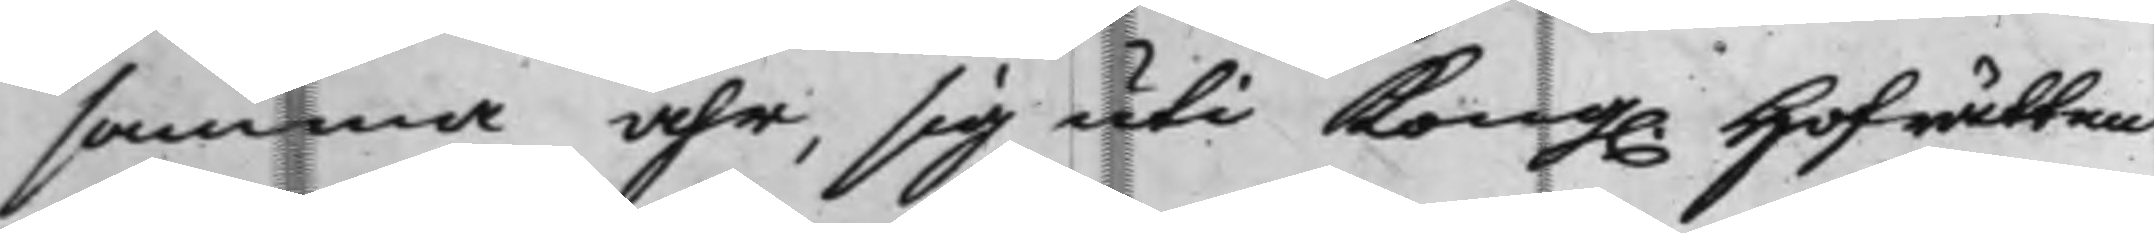samma åhr, sig uti Kong. Hofrätten
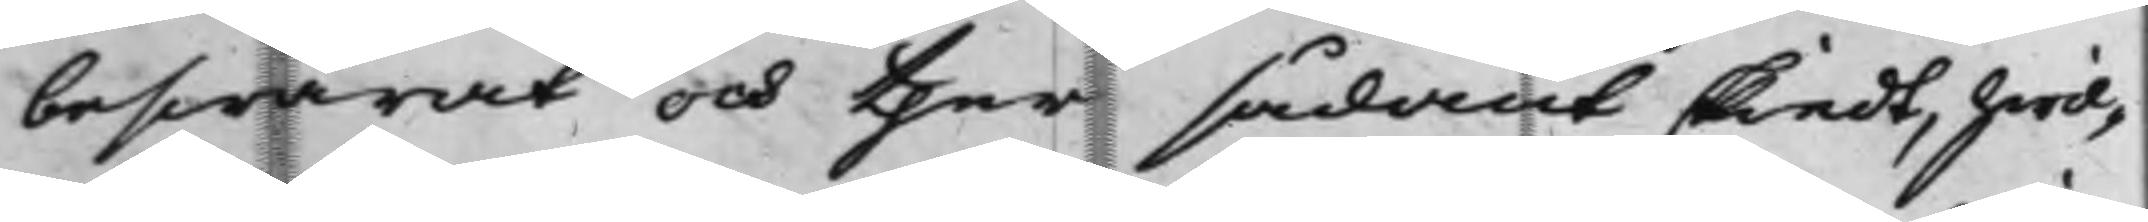beswärat, och ther sådant skiedt, hwil¬
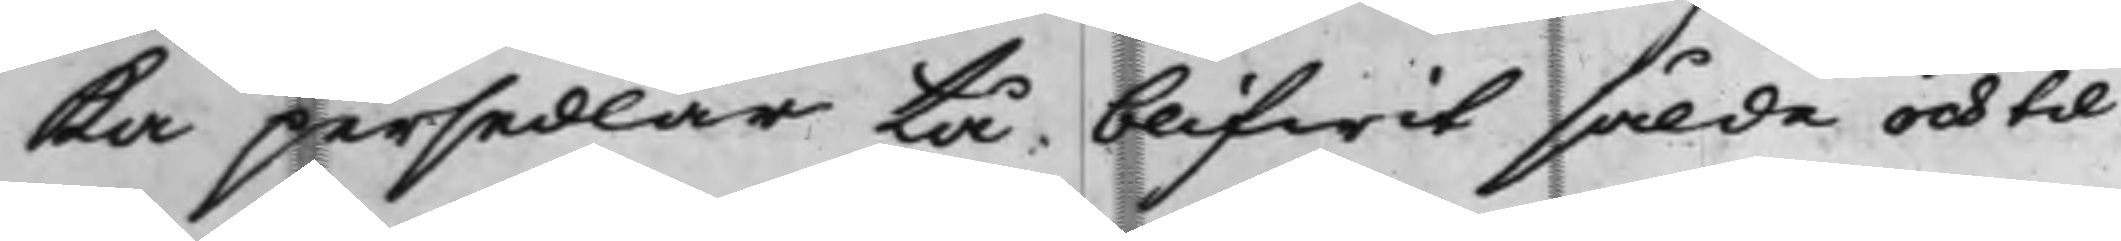ka persedlar tå blifwit sålde och til
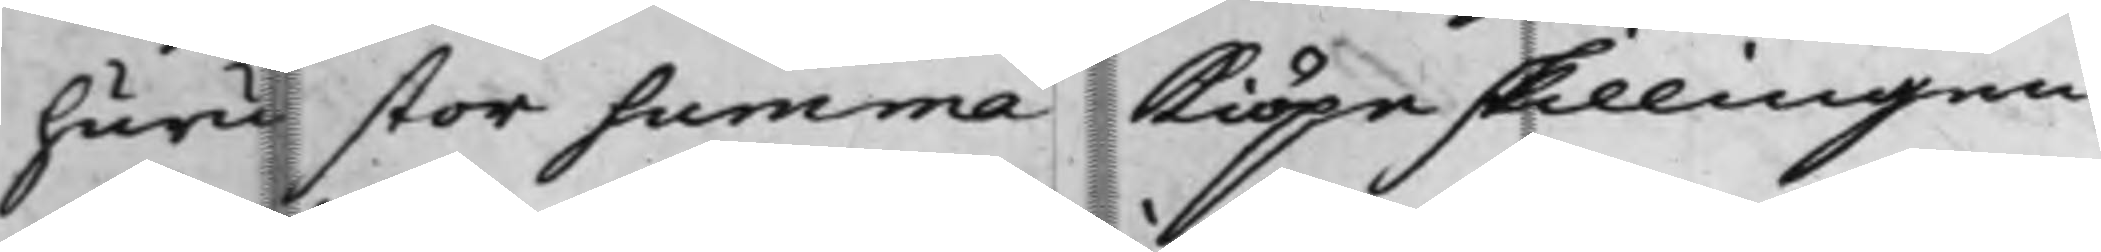huru stor summa Kiöpeskillingen
